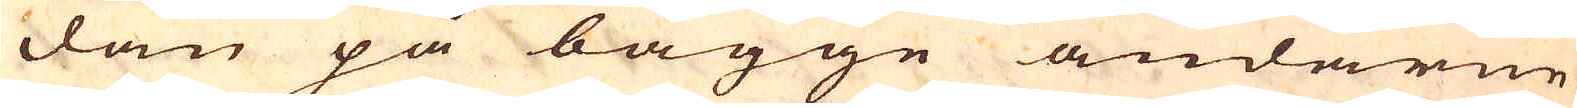dan på bägge ändarne
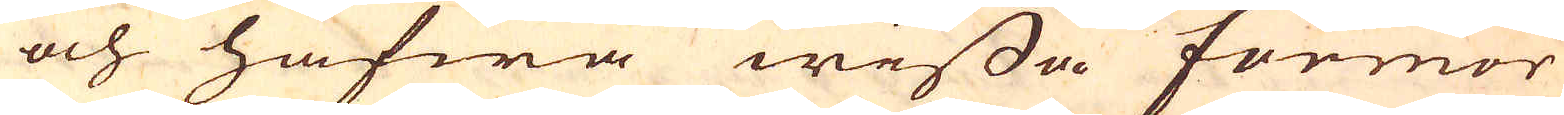och hafwa wissa formor
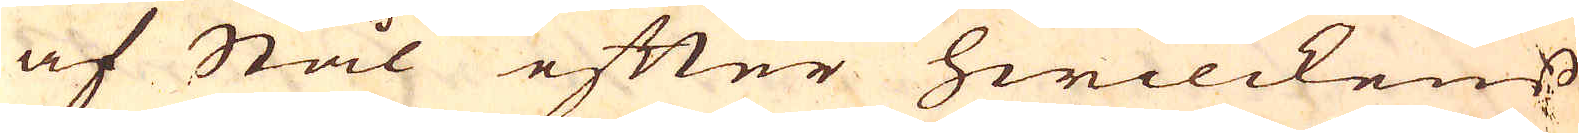af Stål efter hwilckens:
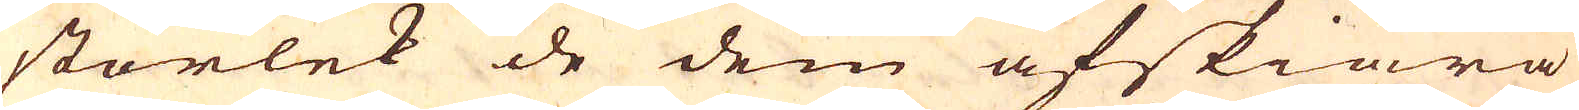storlek de dem afskiära
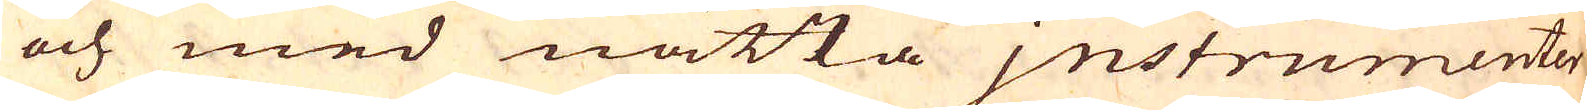och med nätta jnstrumenter
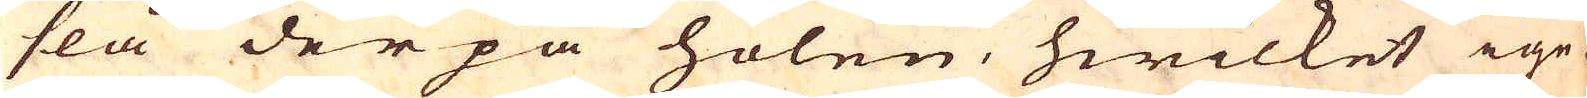slå derpå holen, hwilket ige-
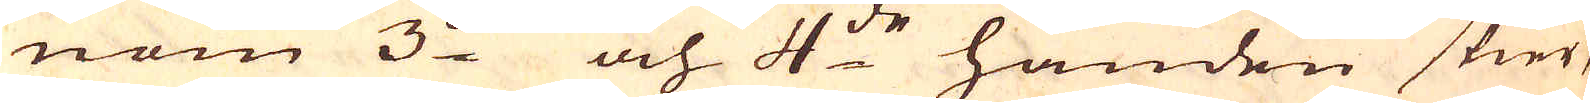nom 3:de och 4:de handen skier,
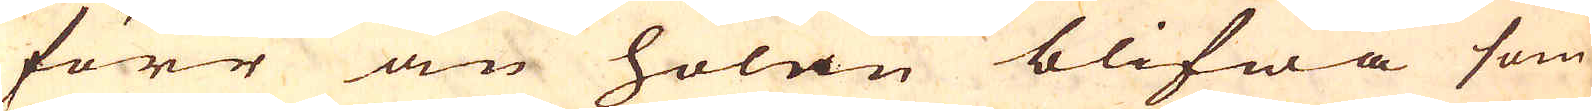förr än holan blifwa som
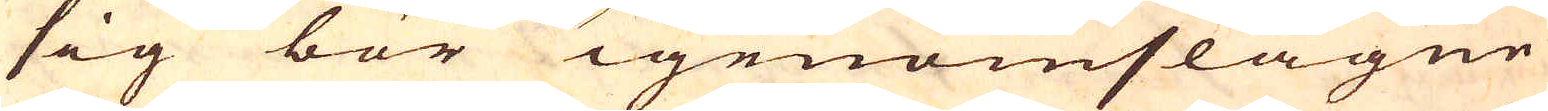sig bör igenomslagne
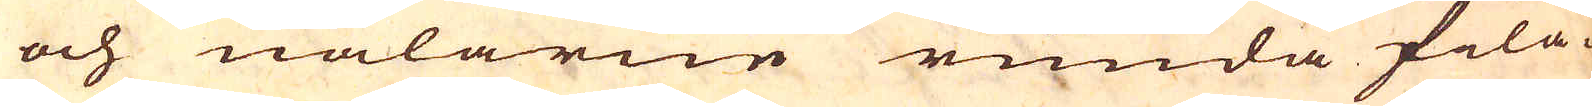och nålarne runda fila-
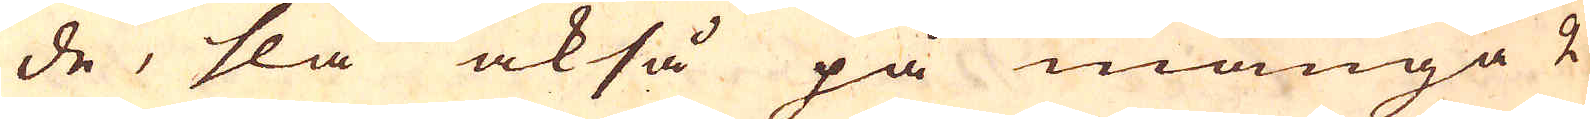de, slå också på många 2
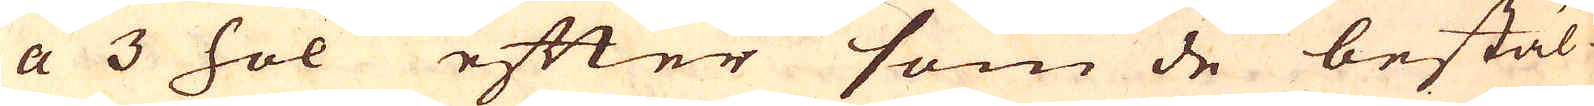a 3 hol efter som de bestäl-
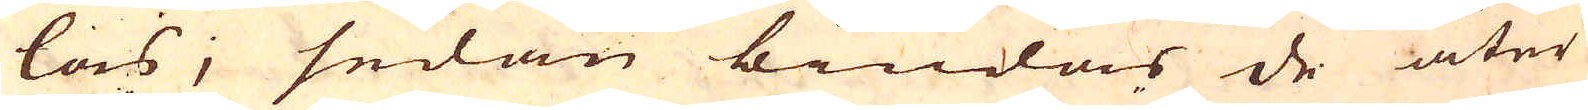las, sedan bindas de åter
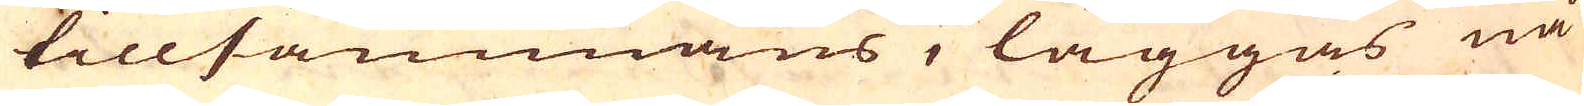tillsammans, läggas nå-
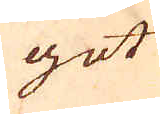got
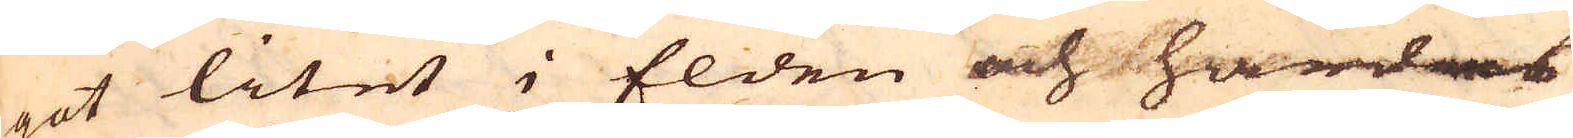not litet i Elden och härdas
